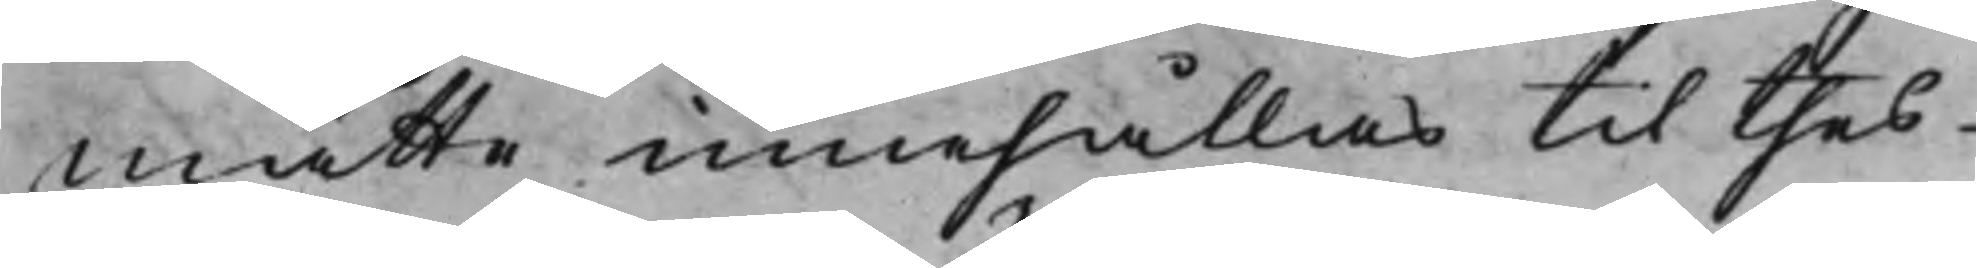måtte innehållas til thes
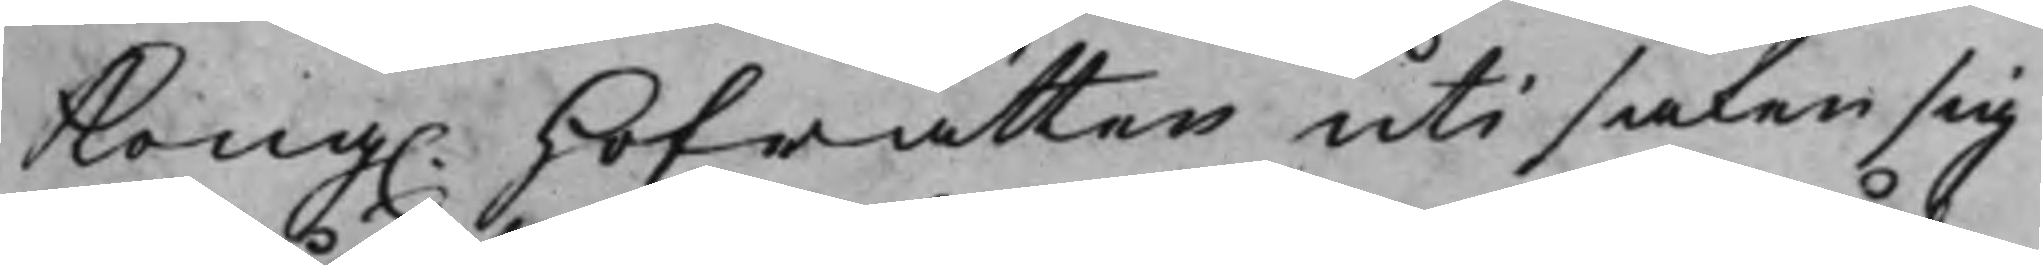Kong. Hofrätten uti saken sig
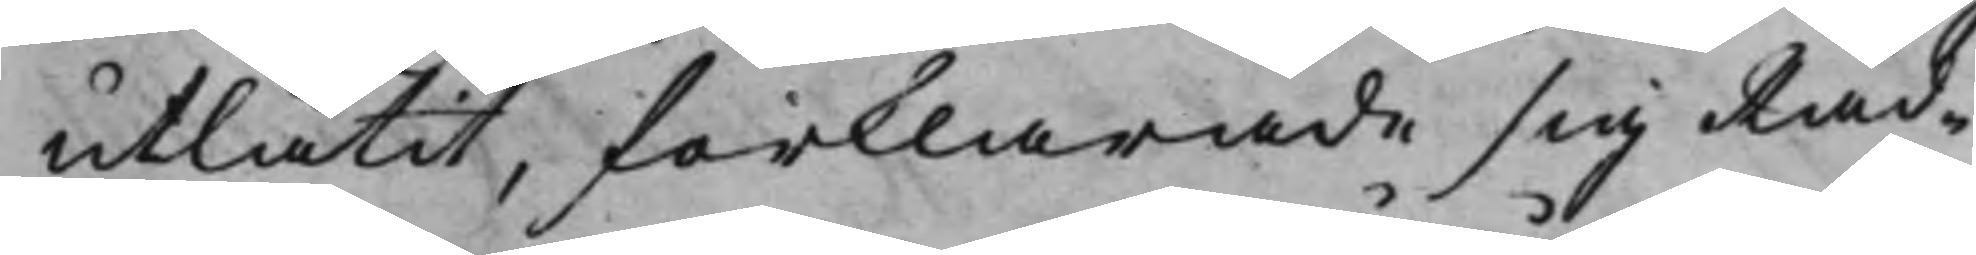utlåtit, förklarade sig Råd¬
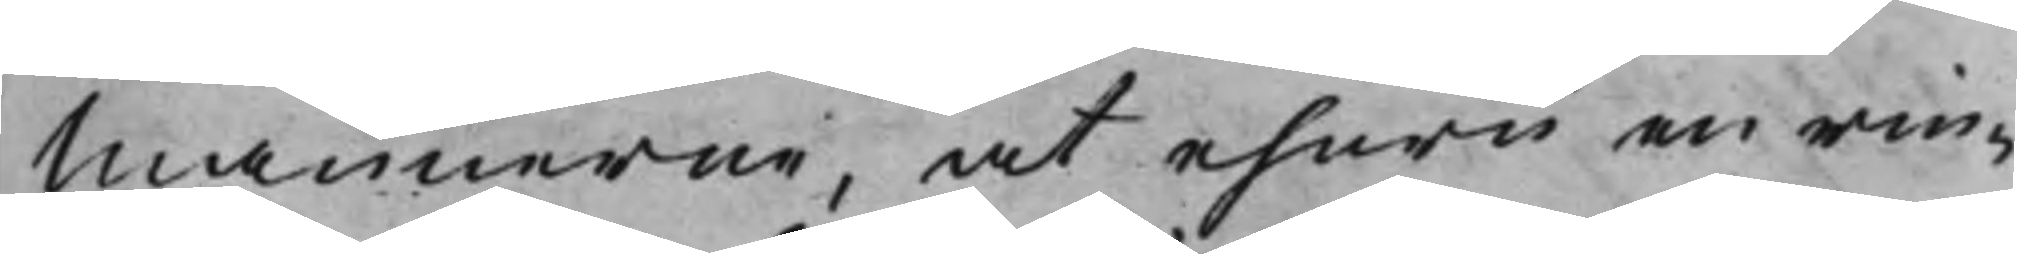Männerne, at ehuru en rin¬
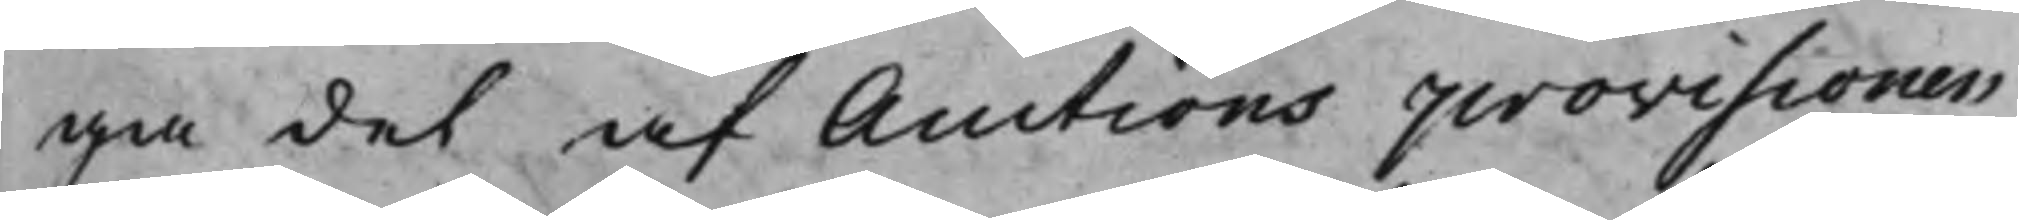ga del af Auctions provisionen
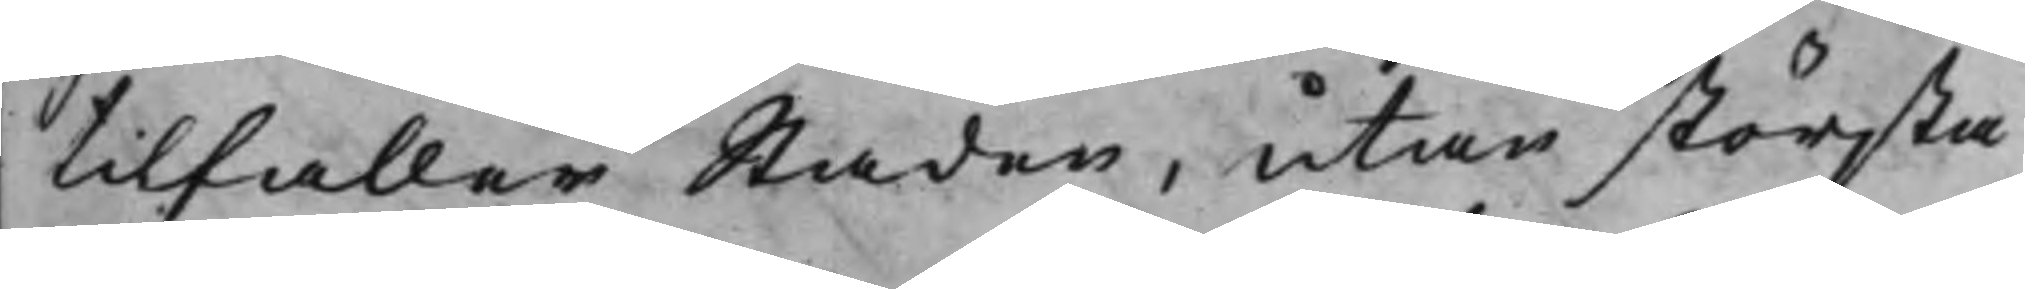tilfaller Staden, utan största
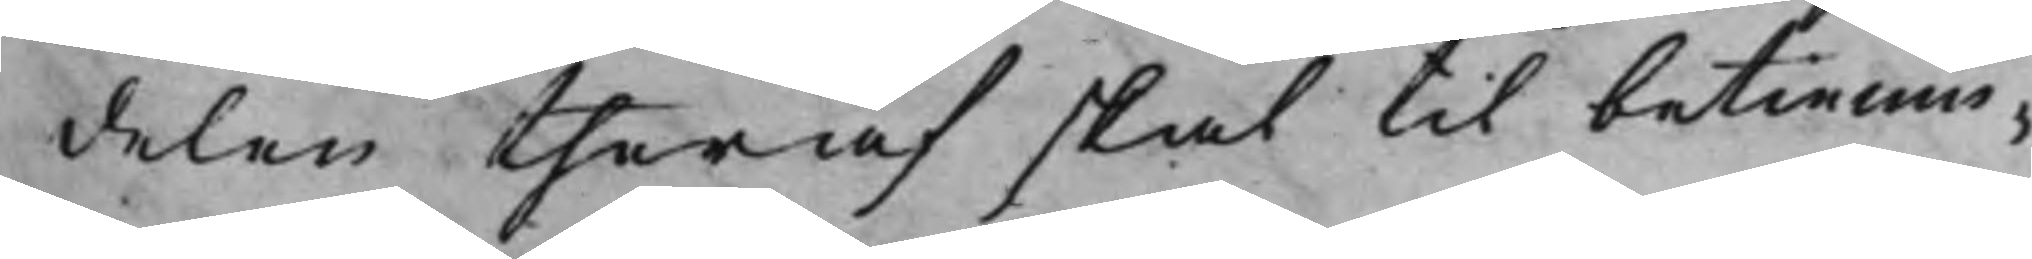delen theraf skal til betienin¬
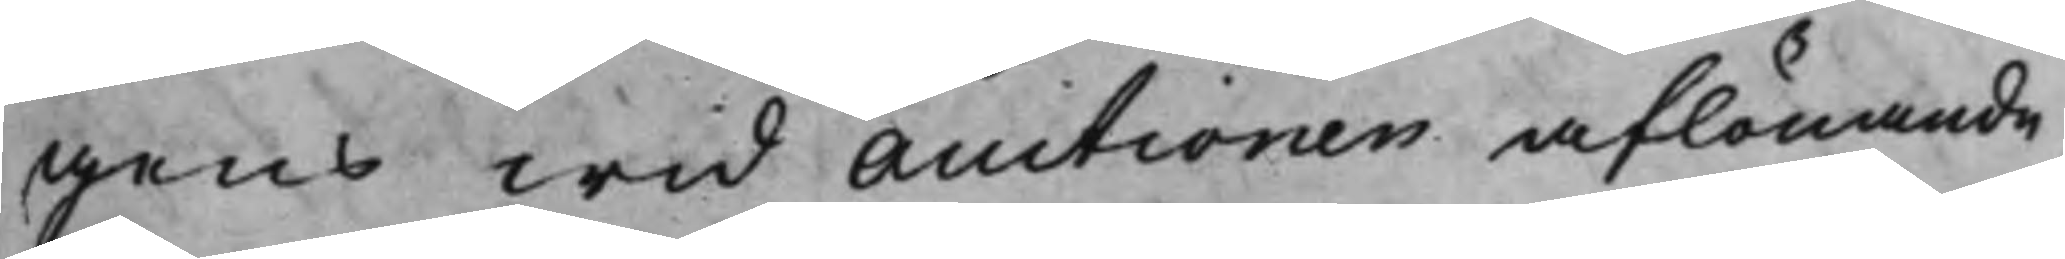gen wid Auctionen aflönande
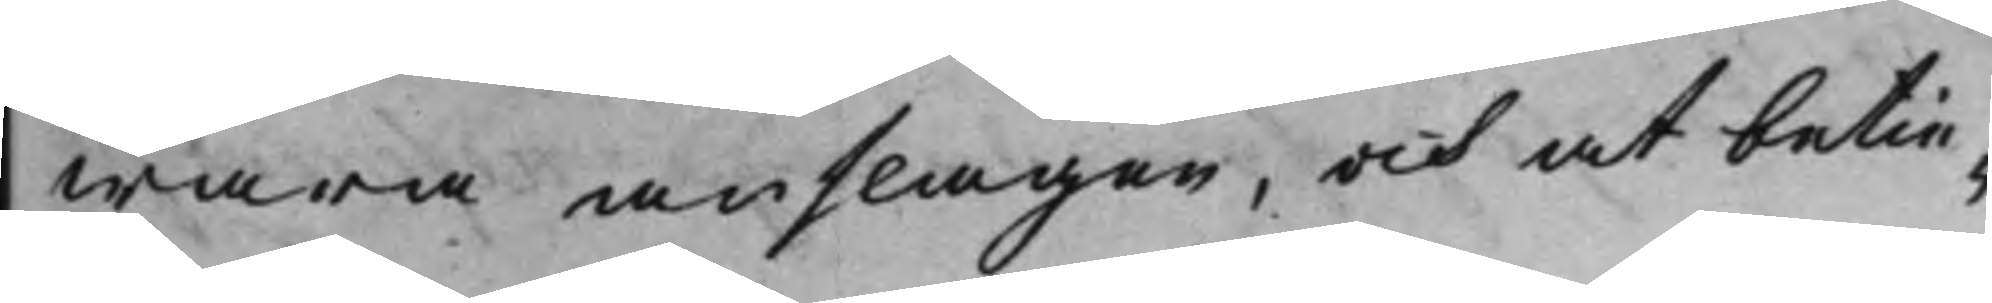wara anslagen, och at betie¬
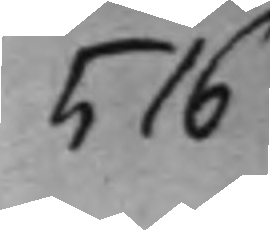516
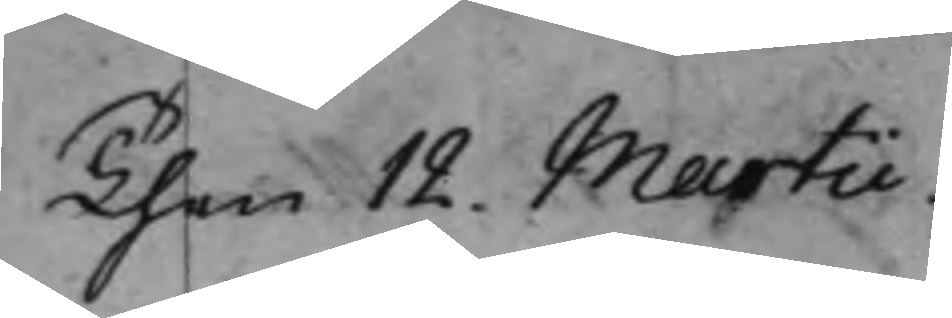Then 12. Martii.
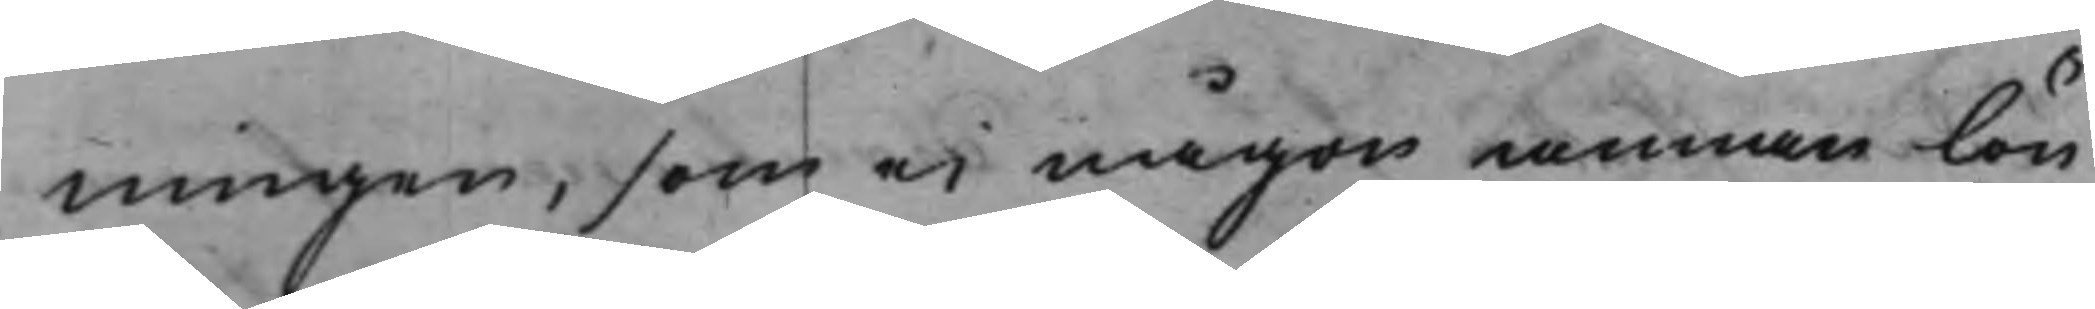ningen, som ei någon annan lön
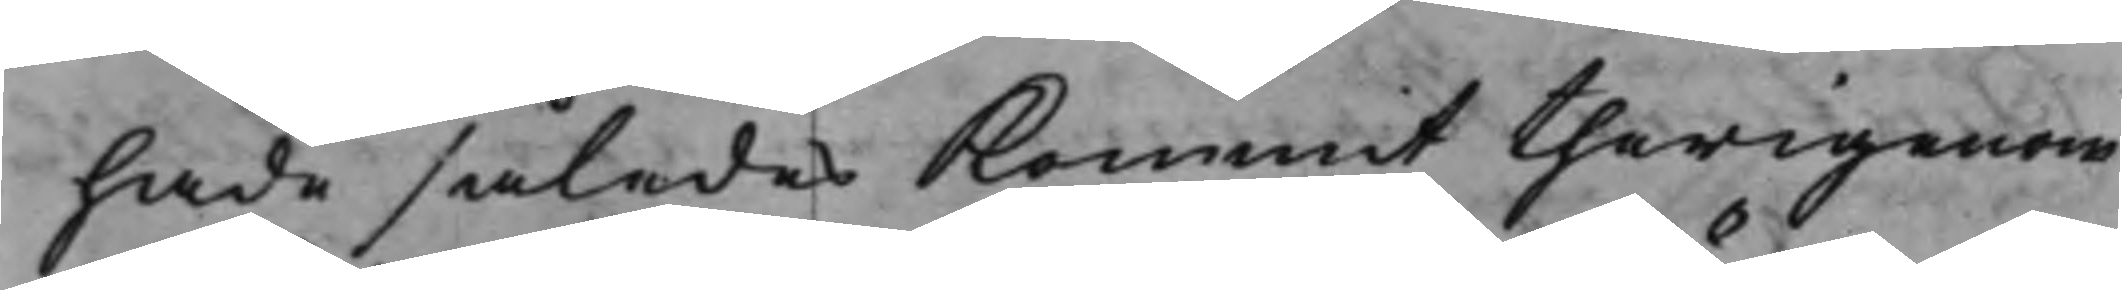hade således kommit therigenom
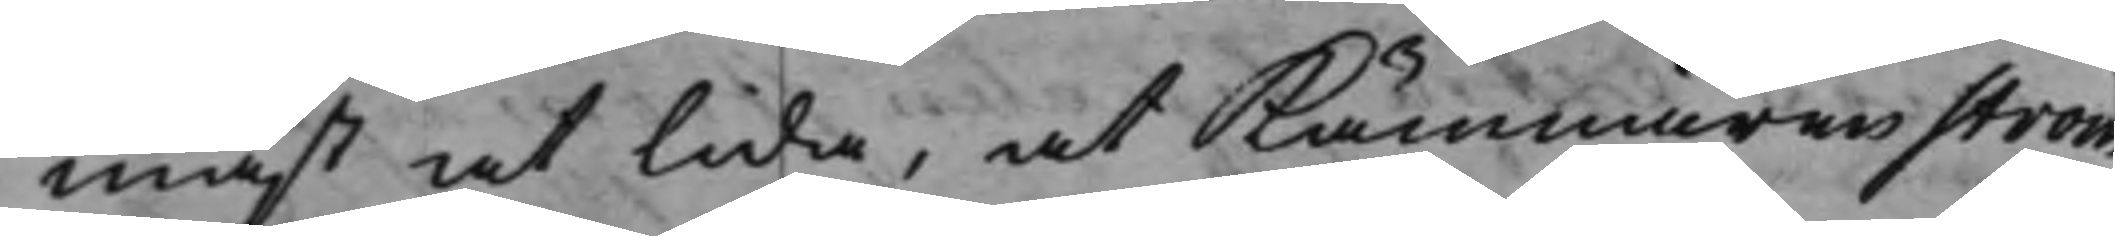mäst at lida, at Kämnären Ström
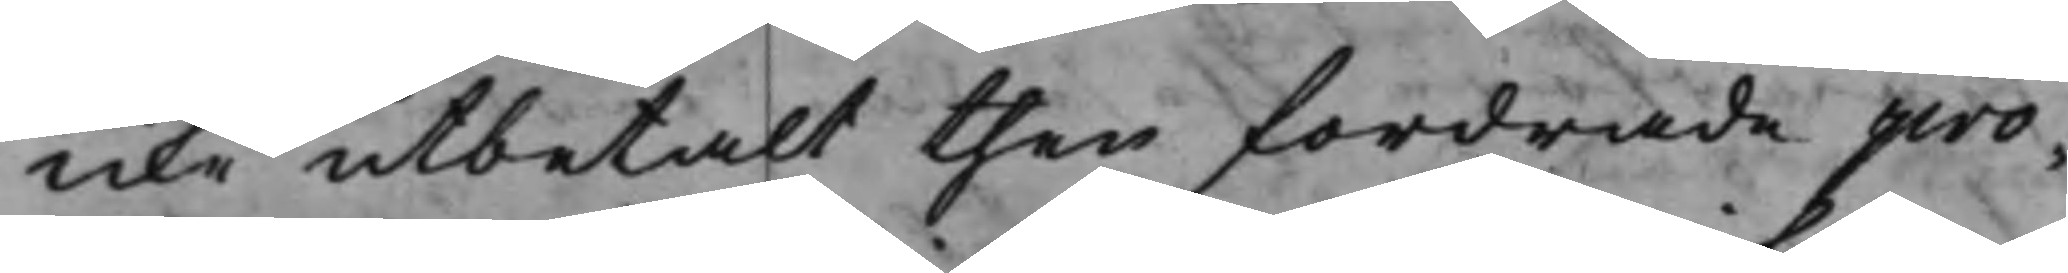icke utbetalt then fordrade pro¬
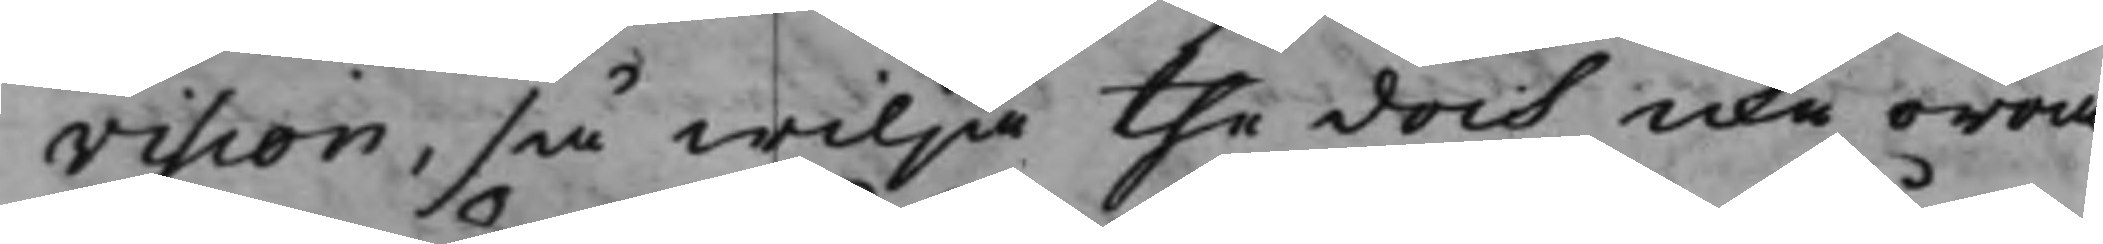vision, så wilja the dock icke oroa
